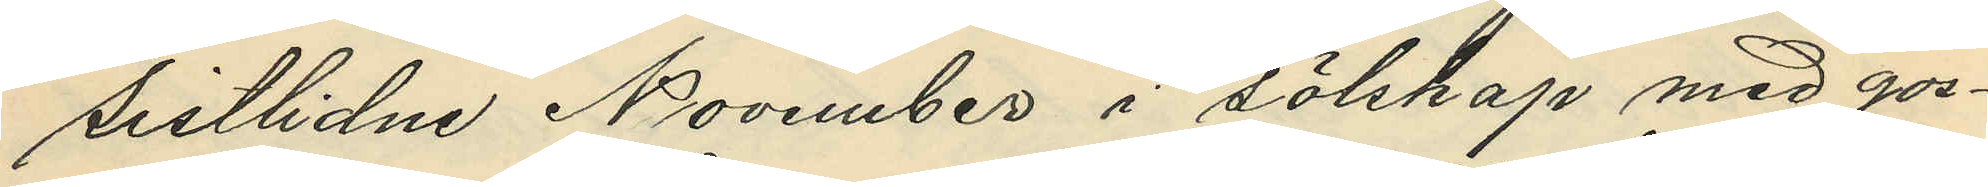sistlidne November i sälskap med gos¬
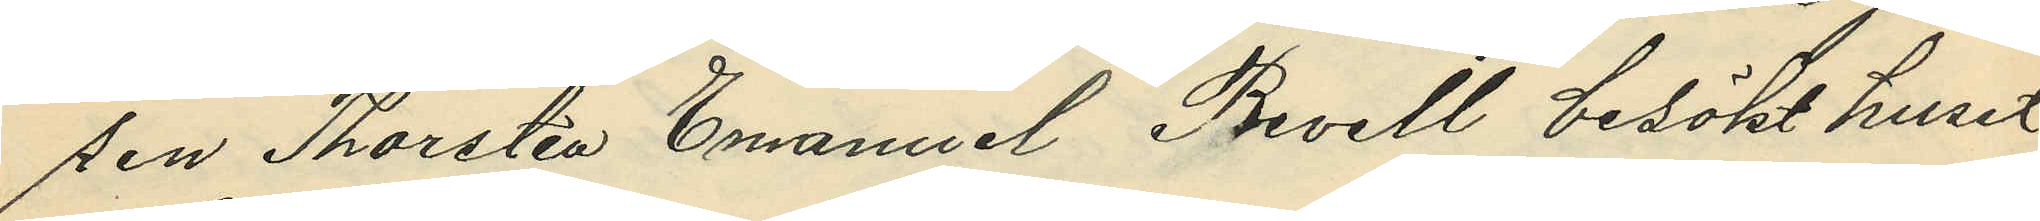sen Thorsten Emanuel Revell besökt huset
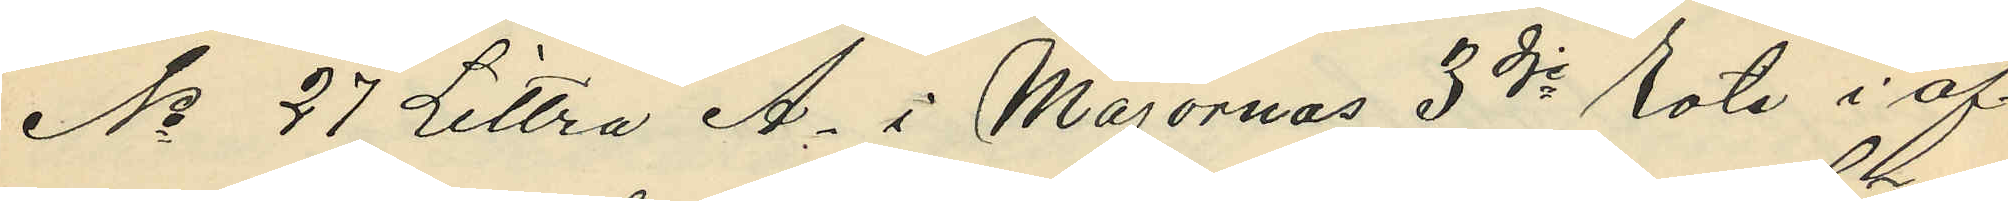No 27 Littra A. i Majornas 3dje Rote i af¬
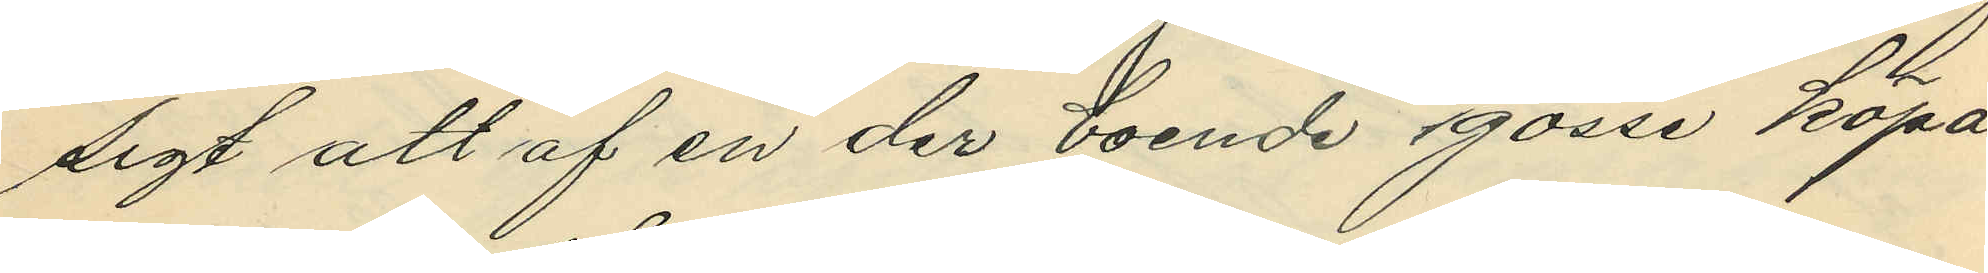sigt att af en der boende gosse köpa
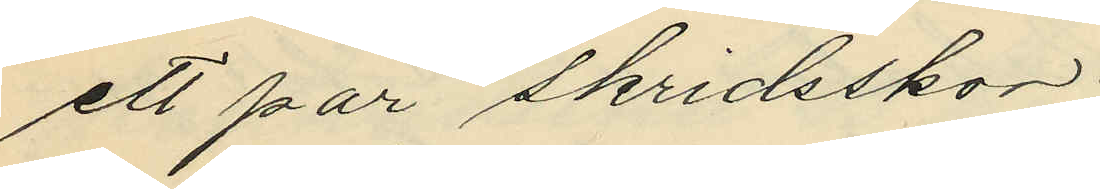ett par skridsskor;
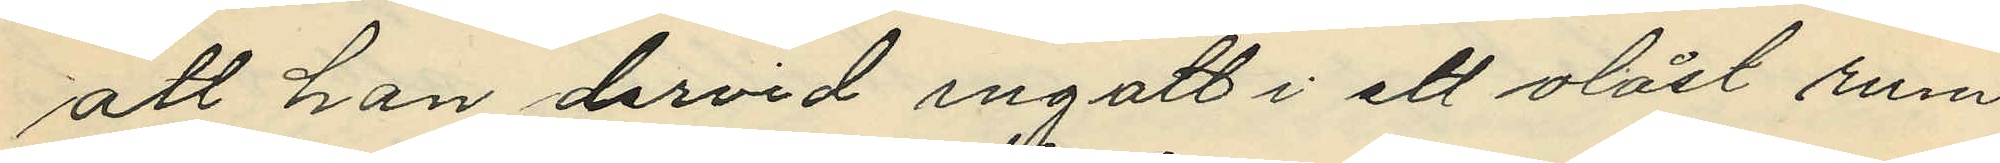att han dervid ingatt i ett olåst rum
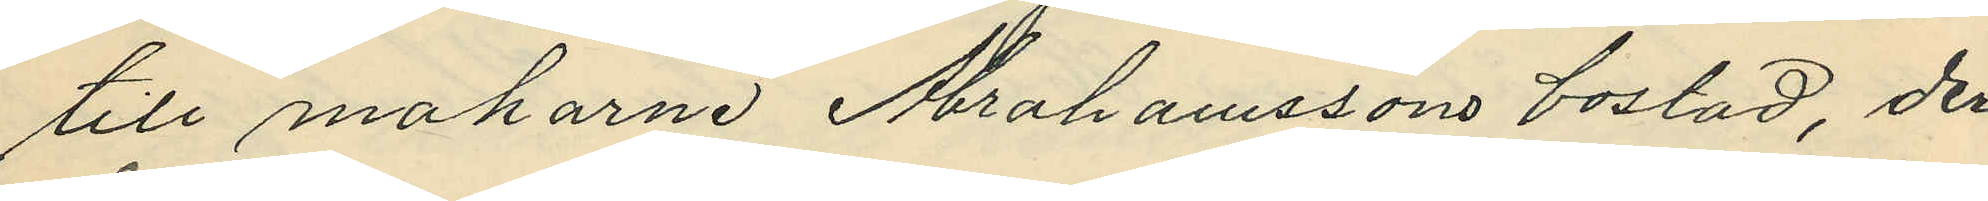till makarne Abrahamssons bostad, der
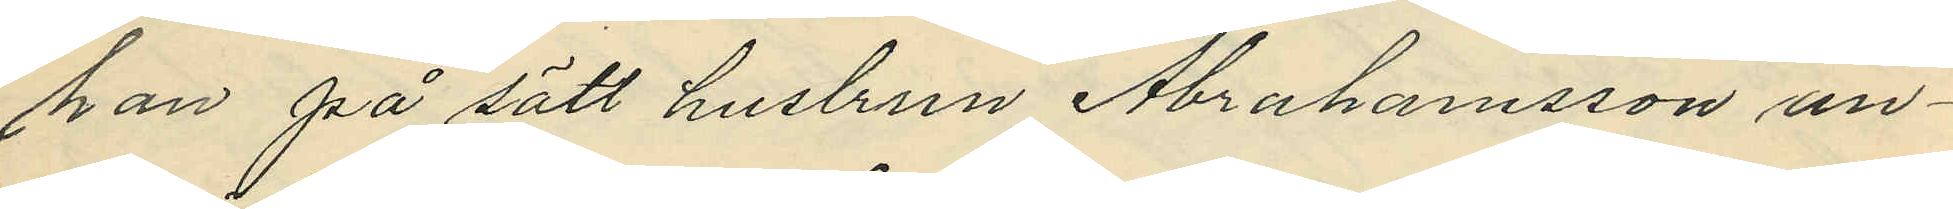han på sätt huslrun Abrahamsson an¬
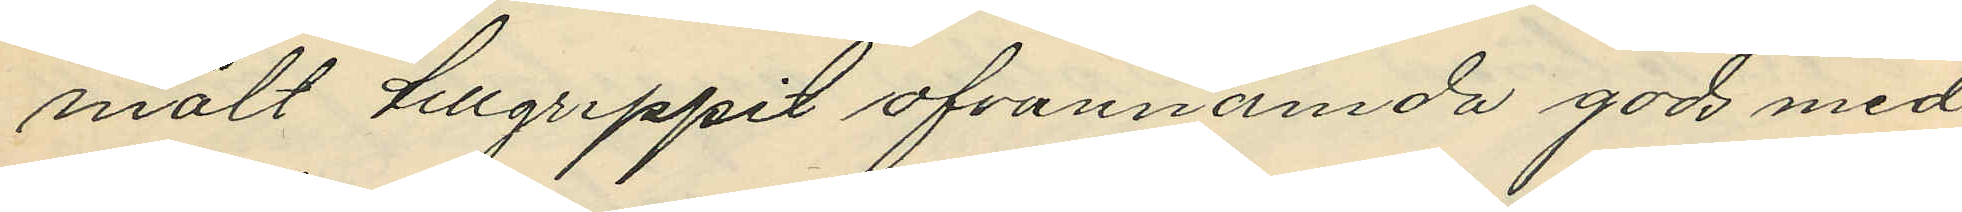mält tillgreppit ofvannämda gods med
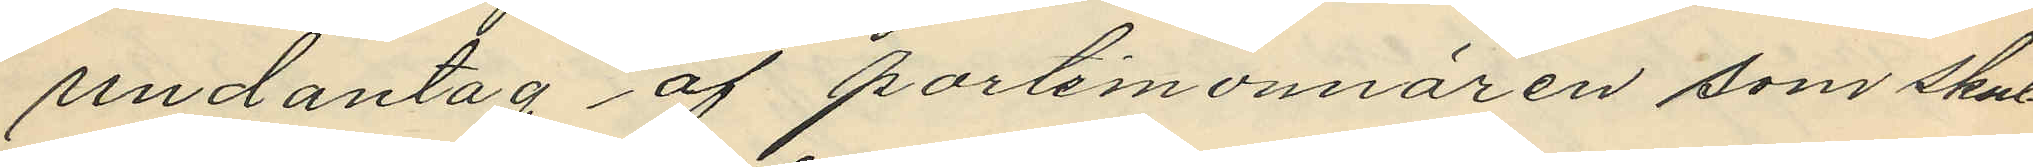undantag af portemonnären som skul¬
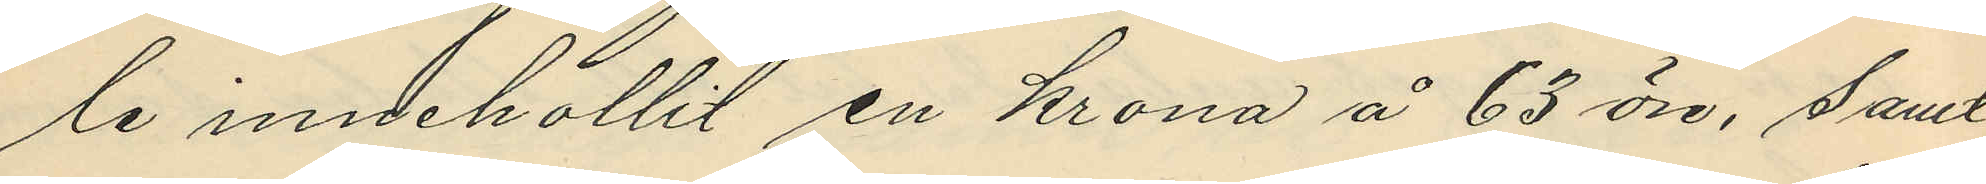le innehållit en krona å 63 öre; samt
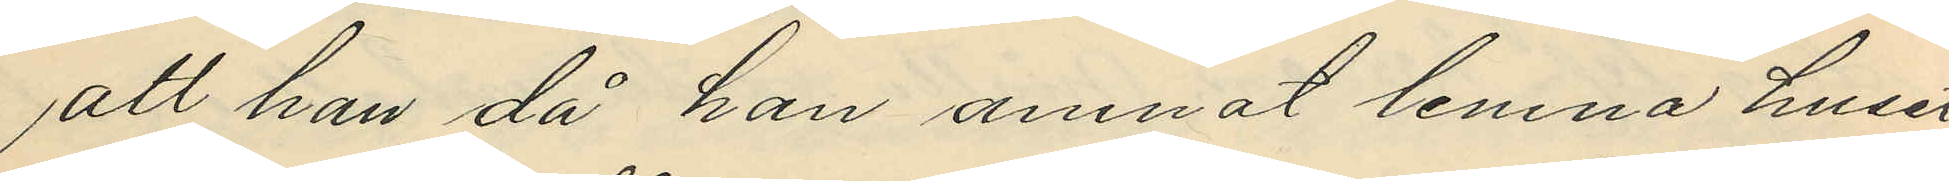att han då han amnat lemna huset
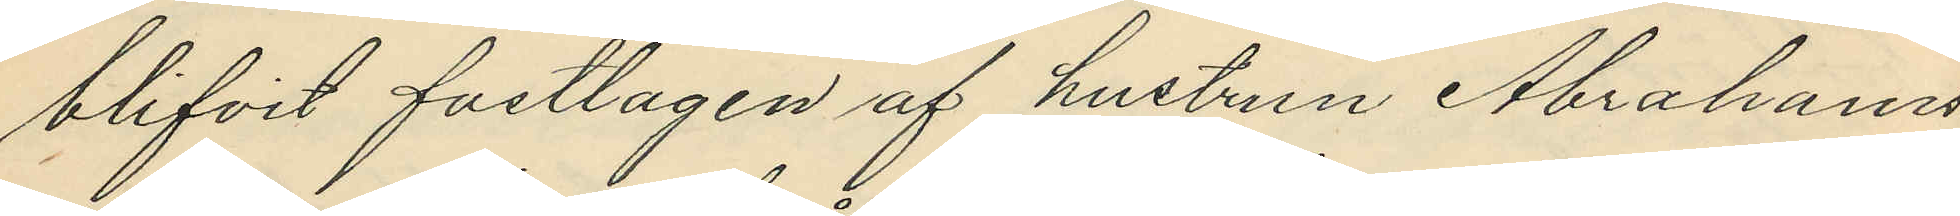blifvit fastlagen af hustrun Abrahams¬
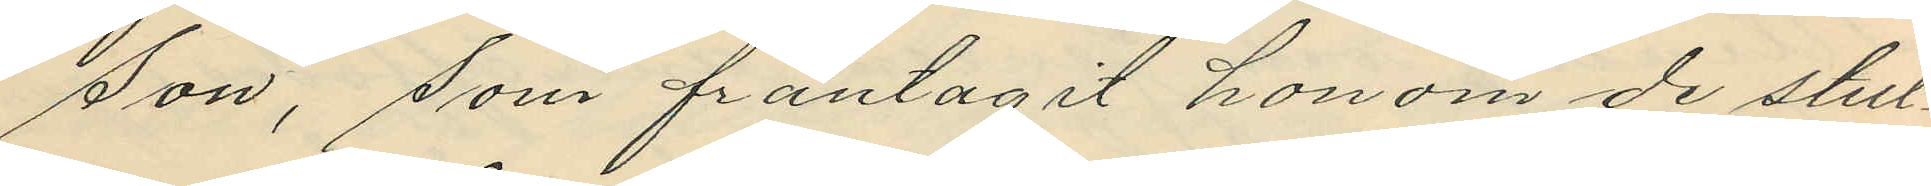son, som fråntagit honom de stul¬
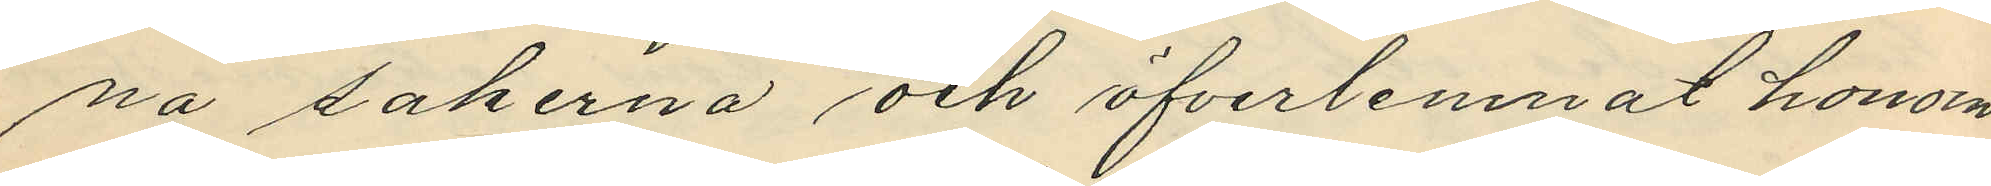na sakerna och öfverlemnat honom
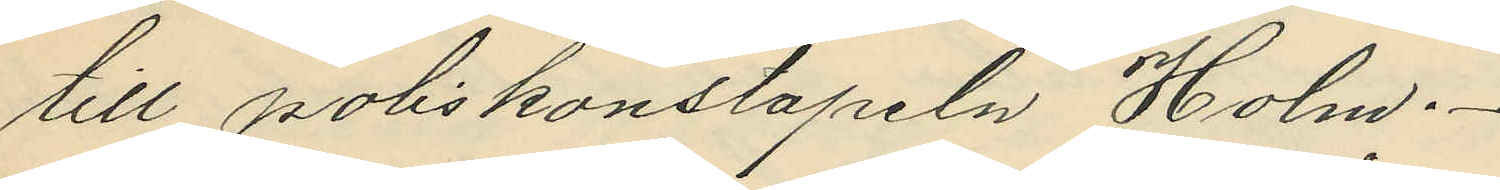till poliskonstapeln Holm.
